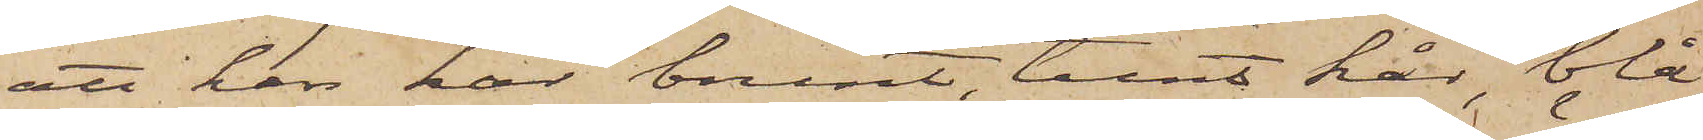att han har brunt, tunt hår, blå
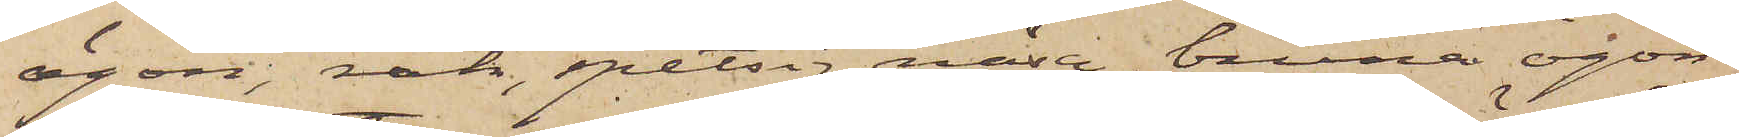ögon, rak, spetsig näsa, bruna ögon¬
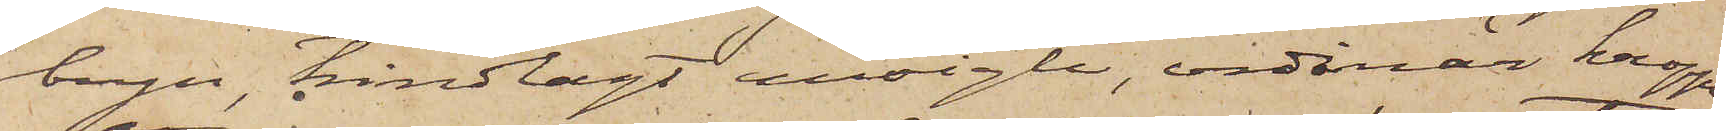bryn, trindlagt ansigte, ordinär kropps¬
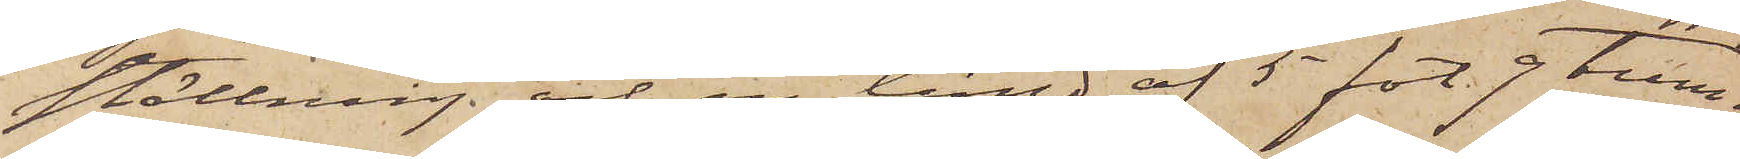ställning och en längd af 5 fot 9 tum;
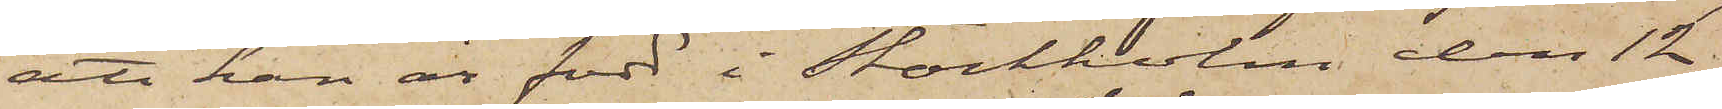att han är född i Stockholm den 12
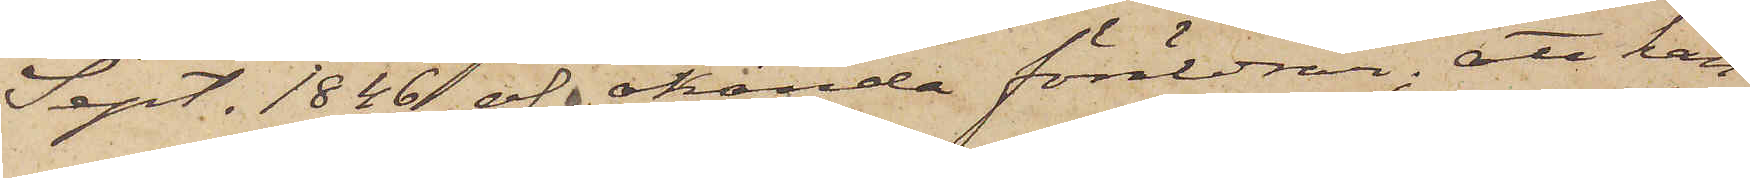Sept. 1846 af okända föräldrar; att han
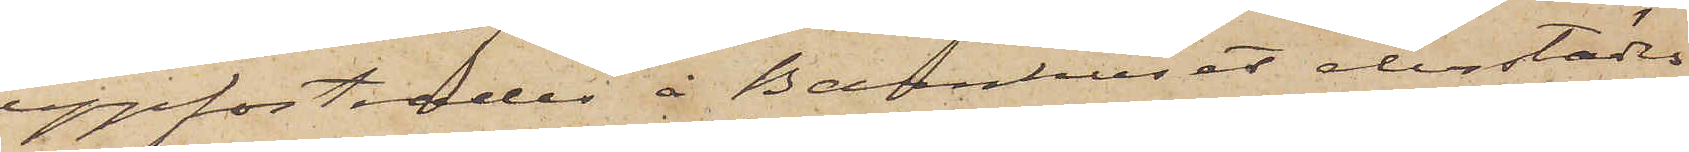uppfostrades å Barnhuset derstädes
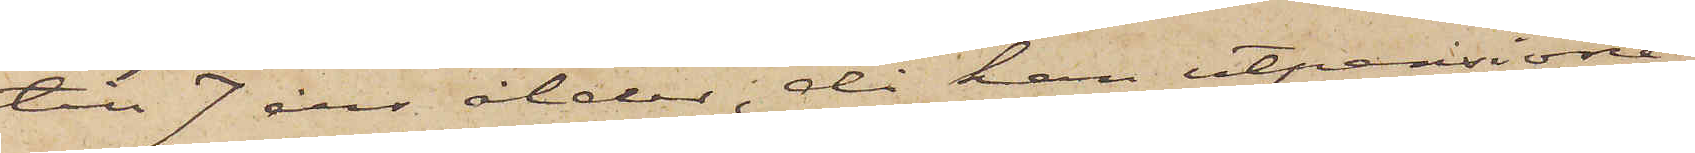till 7 års ålder, då han utpensione¬
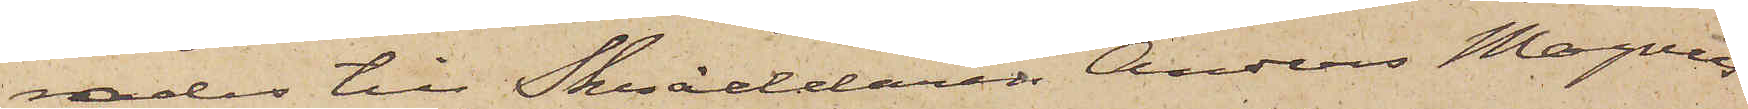rades till Skräddaren Anders Magnus
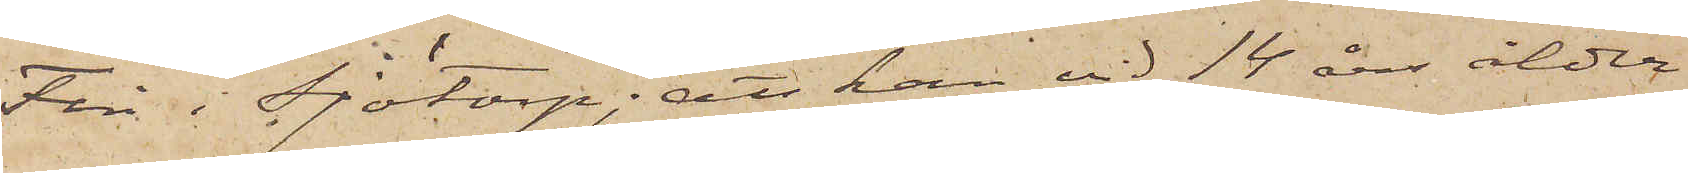Fin i Sjötorp; att han vid 14 års ålder
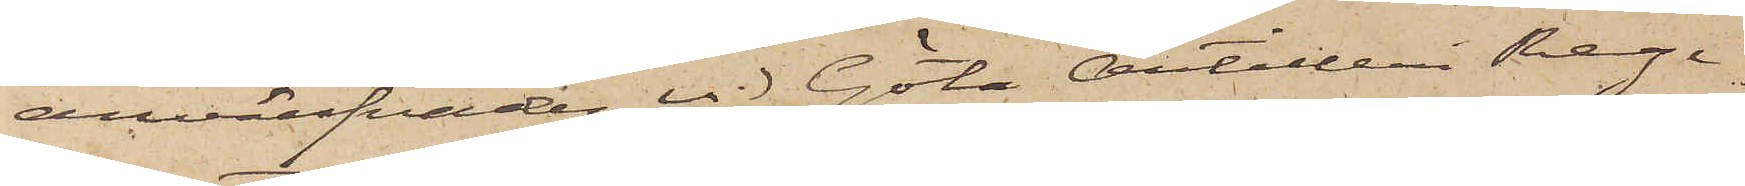anvärfades vid Göta Artilleri Rege¬
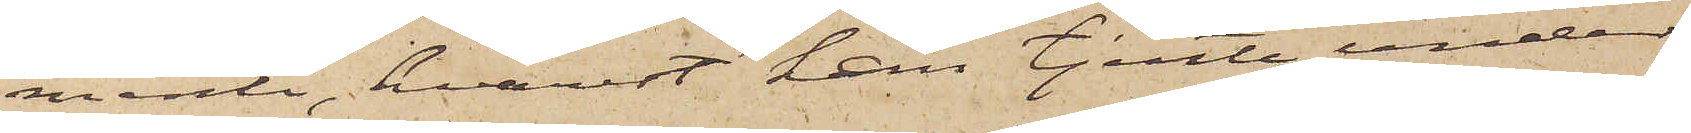mente, hvarest han tjente under
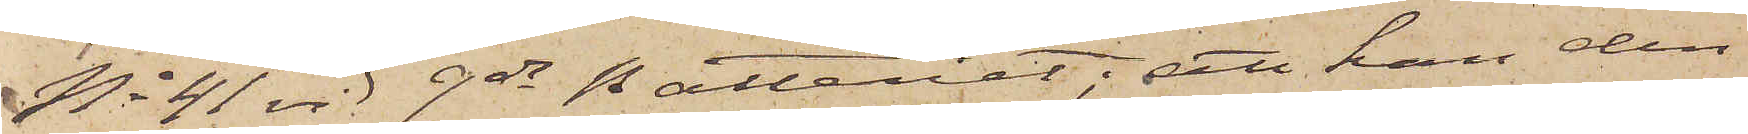No 41 vid 9de natteriet; att han den
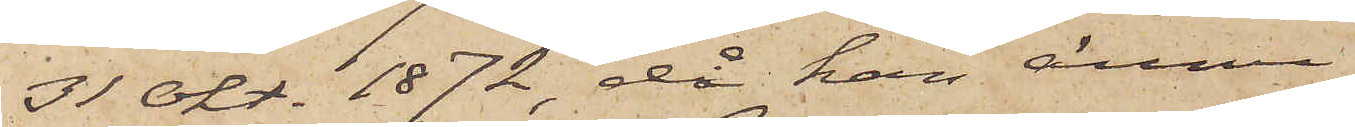31 Okt. 1872, då han ännu
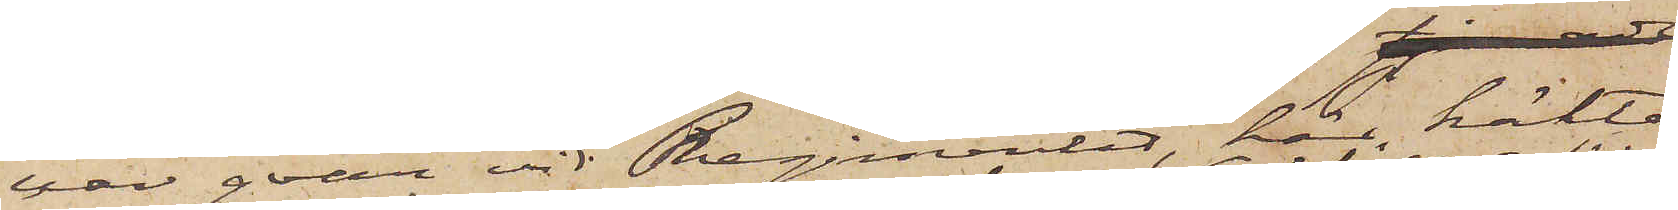var qvar vid Regimentet, här häkta¬
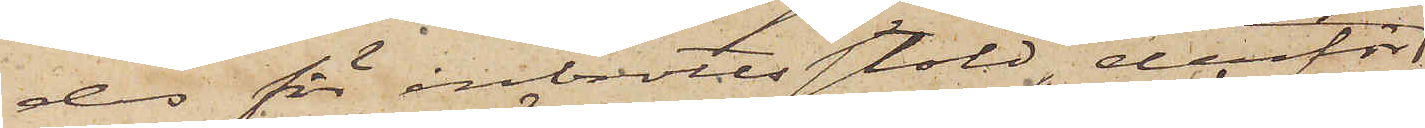des för inbrottsstöld, derför
